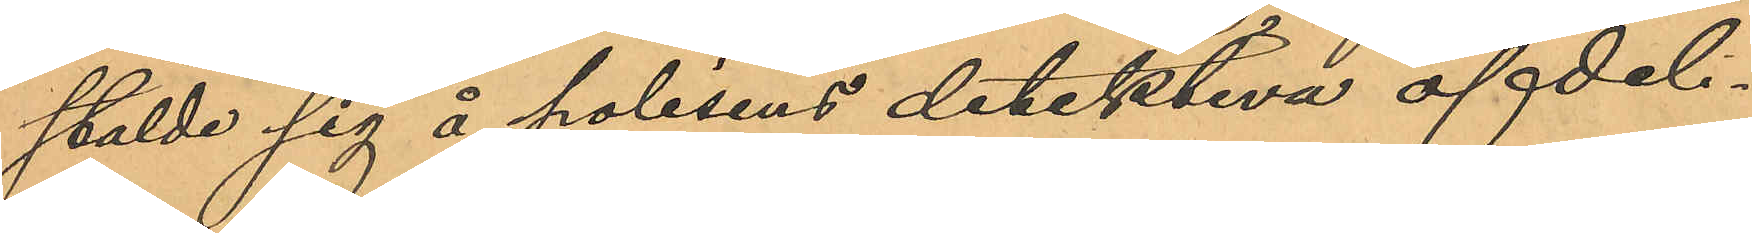stälde sig å polisens detektiva afdeli¬
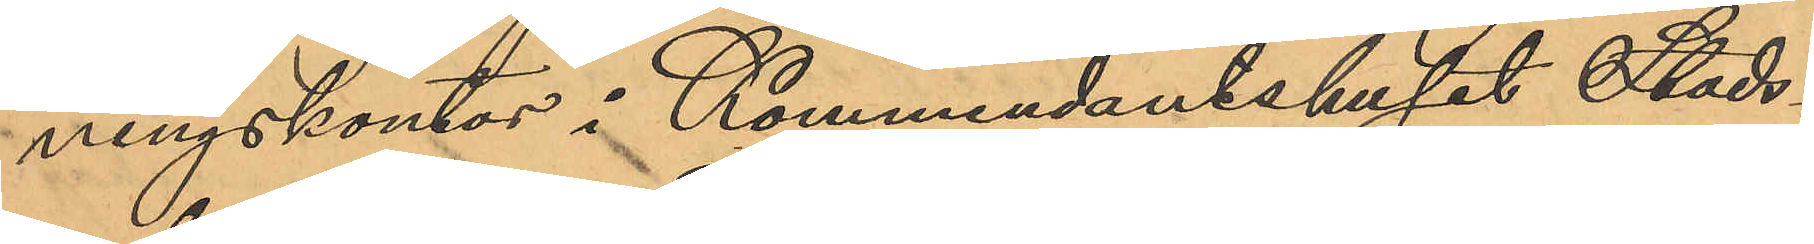ningskontor i Kommendantshuset Stads¬
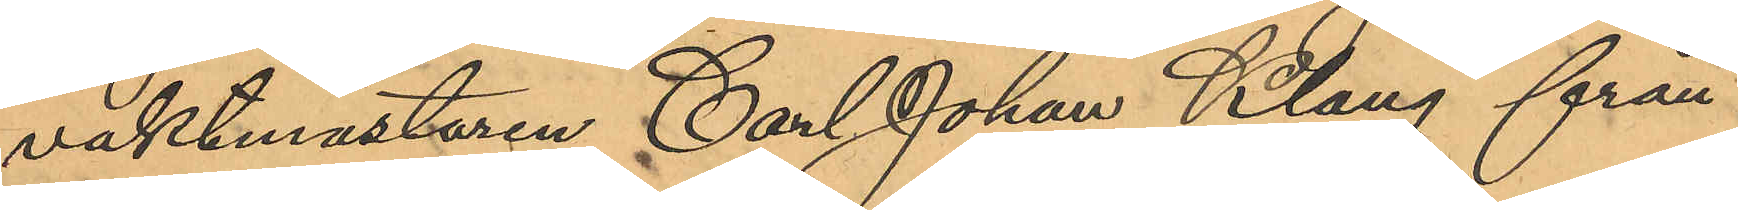vaktmästaren Carl Johan Klang från
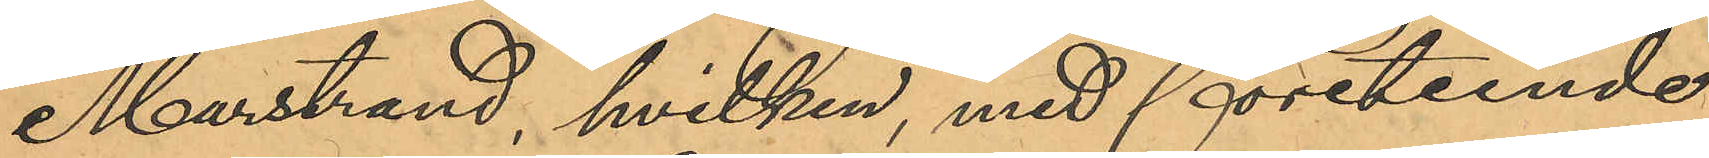Marstrand, hvilken, med företeende
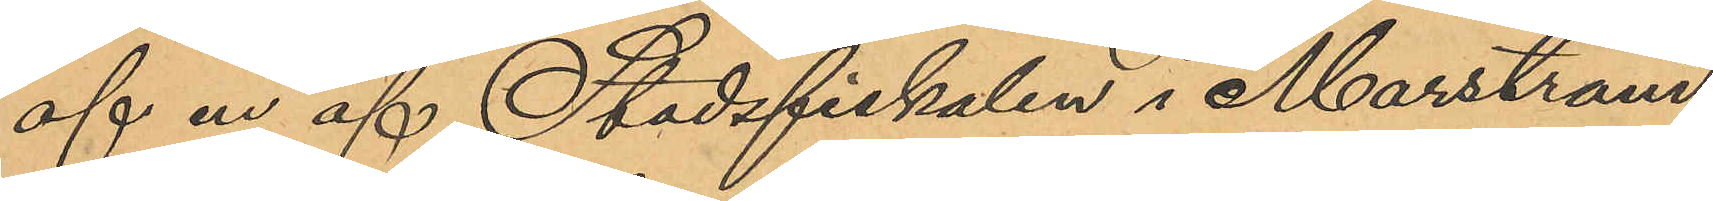af en af Stadsfiskalen i Marstrand
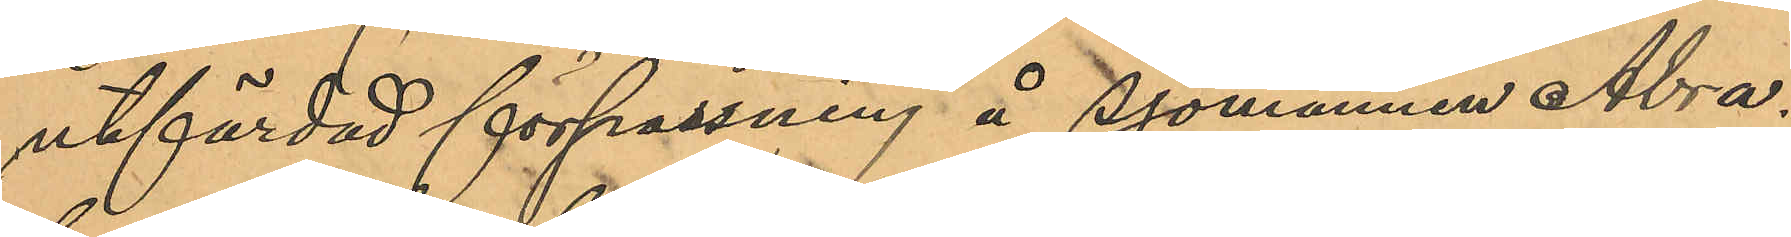utfärdad förpassning å Sjömannen Abra¬
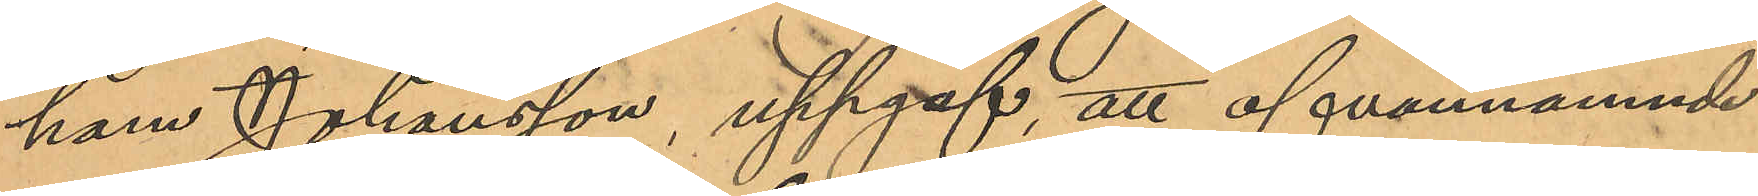ham Johansson, uppgaf, att ofvannämnde
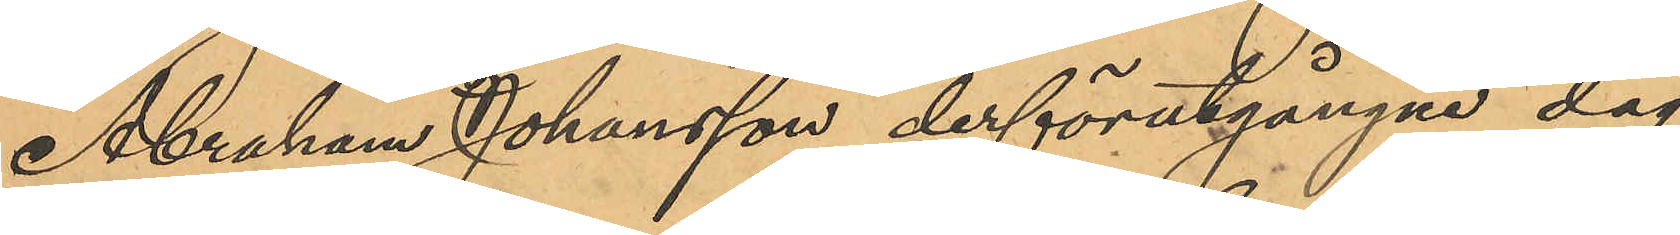Abraham Johansson derförutgångne dag
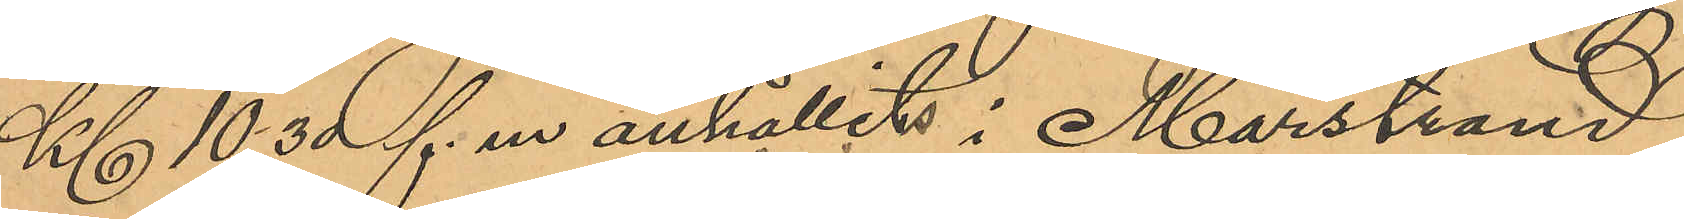Kl 10,30 f. m anhållits i Marstrand,
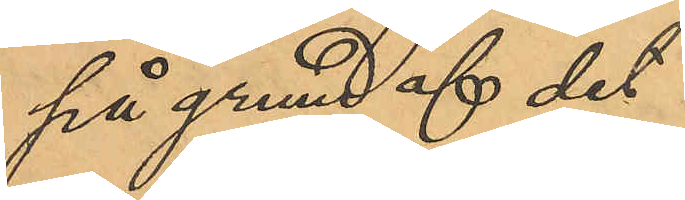på grund af det
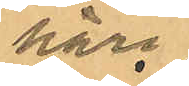häri¬
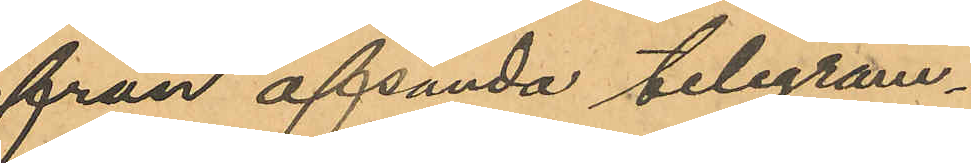från afsända telegram¬
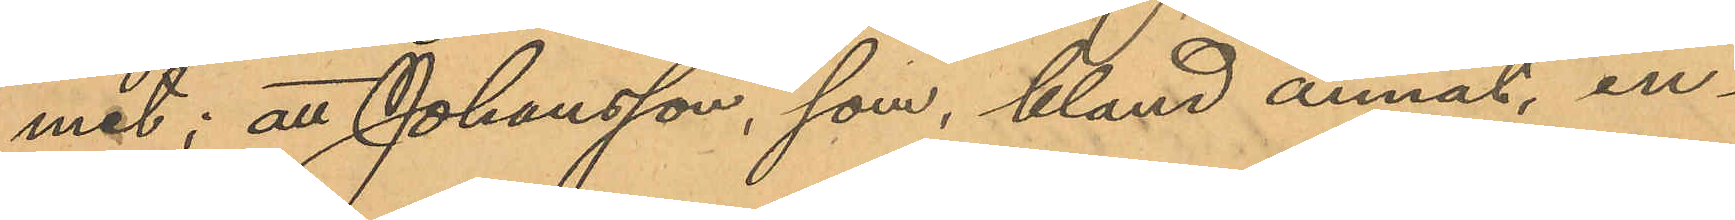met; att Johansson, som, bland annat, in¬
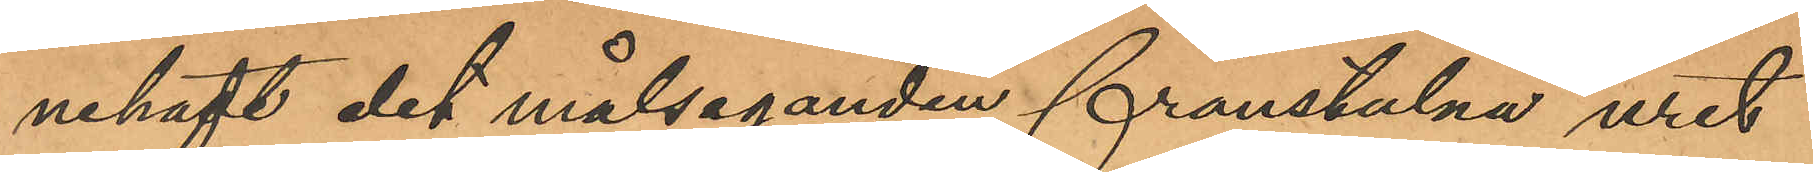nehaft det målseganden frånstulna uret
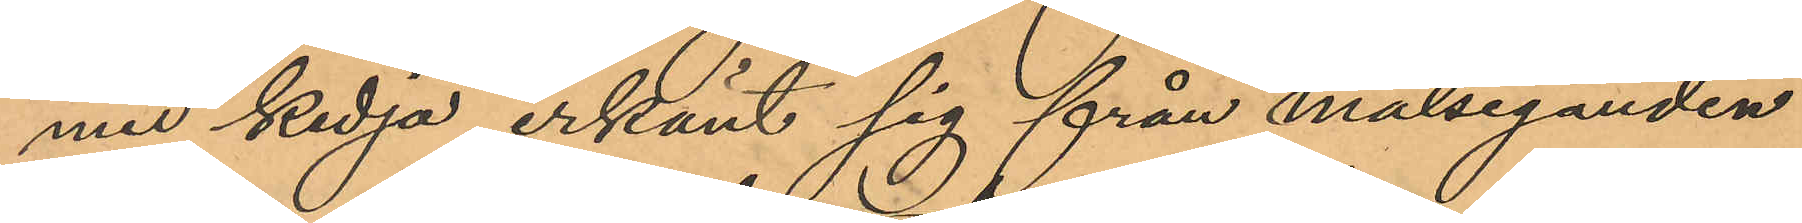med kedja, erkänt sig från målseganden
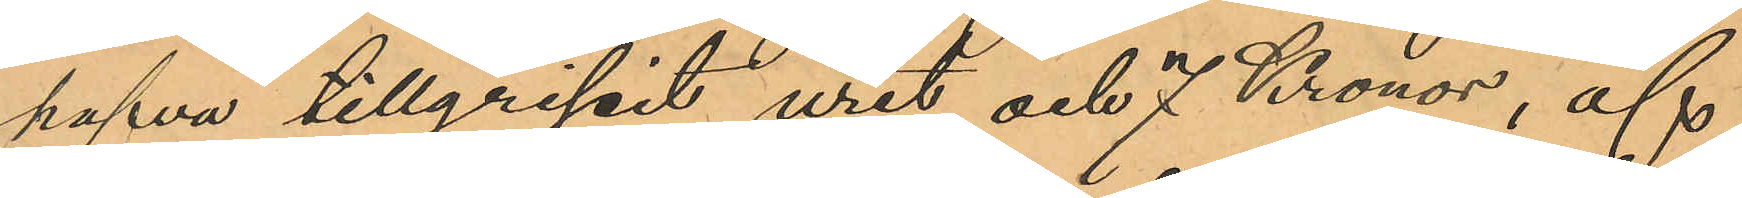hafva tillgripit uret och 7 Kronor, af
